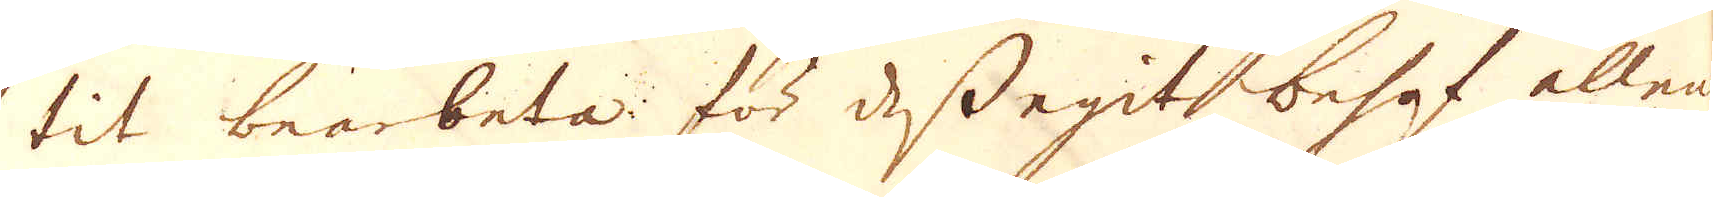tit bearbeta för dess egit behof allena
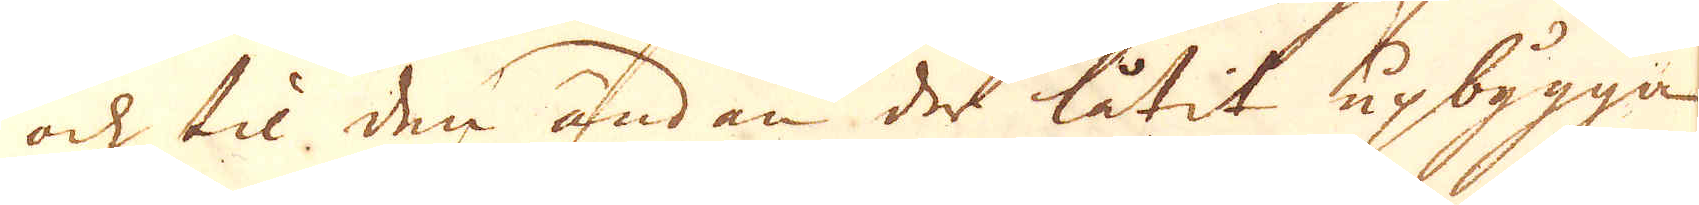och til den ändan der låtit upbygga
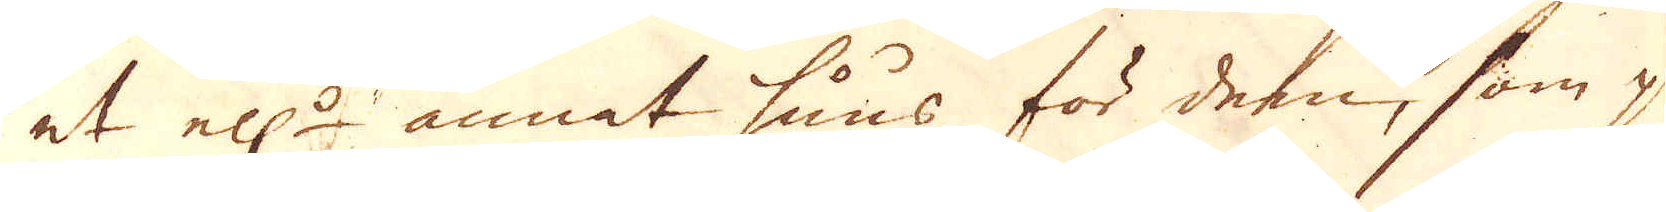et ell:r annat huus för dem, som gör
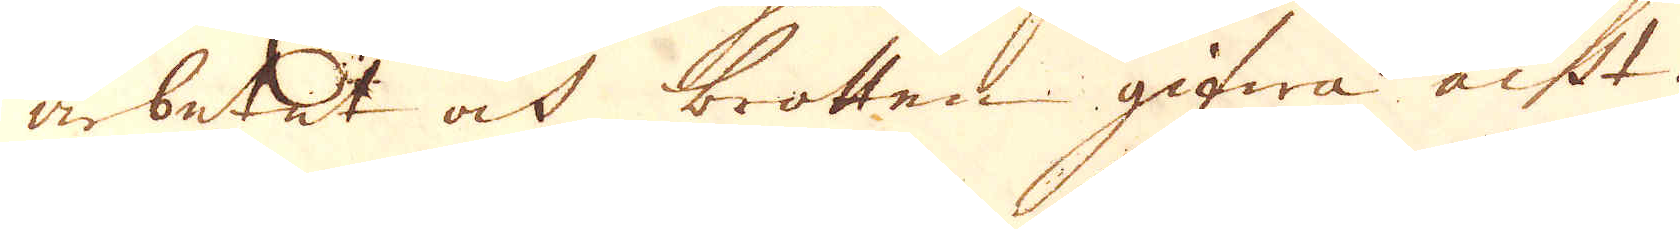arbetet ock brotten gifwa acht.
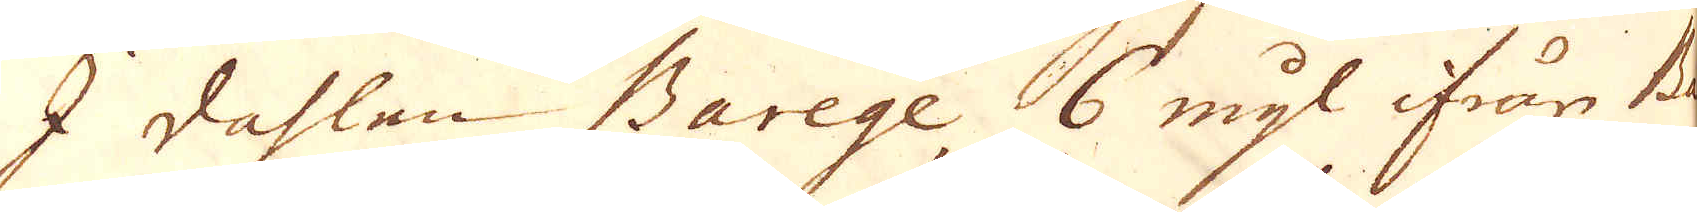I dahlen Barege 6 mijl ifrån Be-
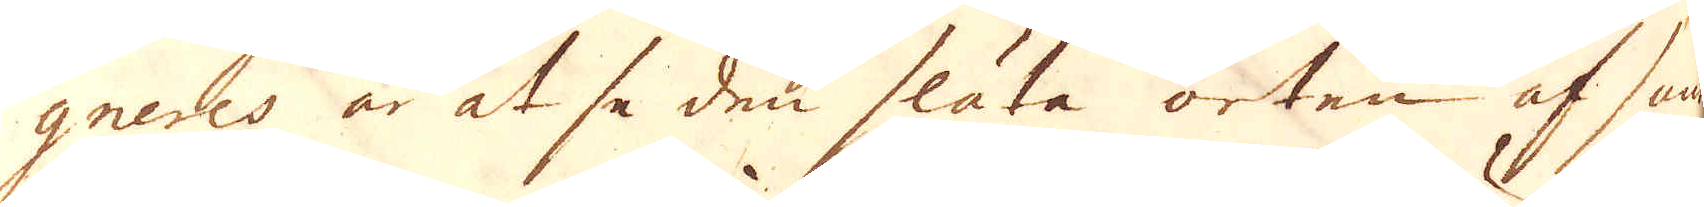gneres är at se den släta orten af sam-
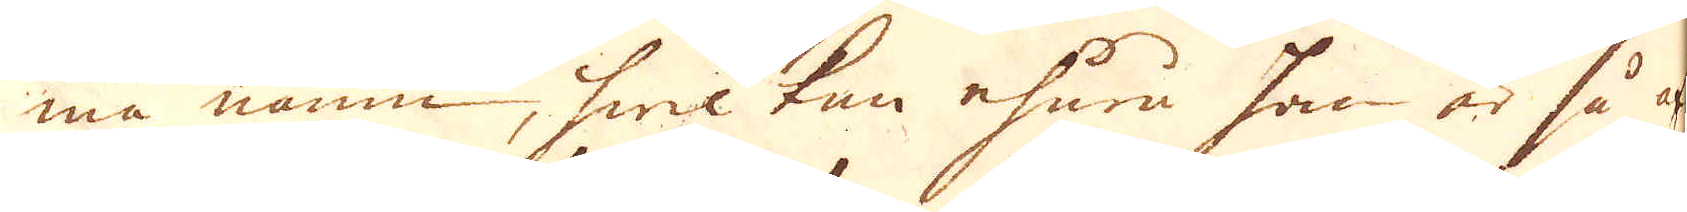ma namn, hwilken ehuru han är så af be-
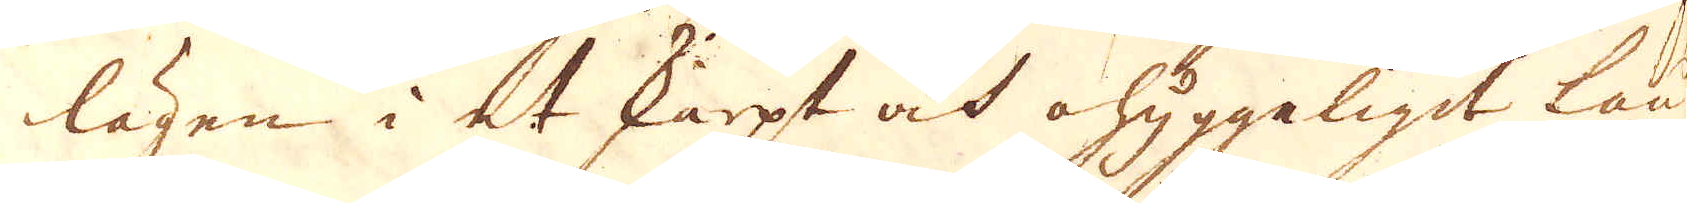lägen i et skarpt och ohyggaligit land
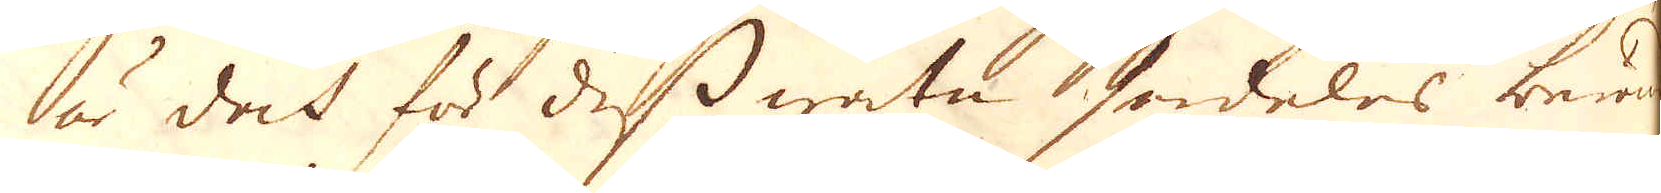är doch för dess watn serdeles berömd
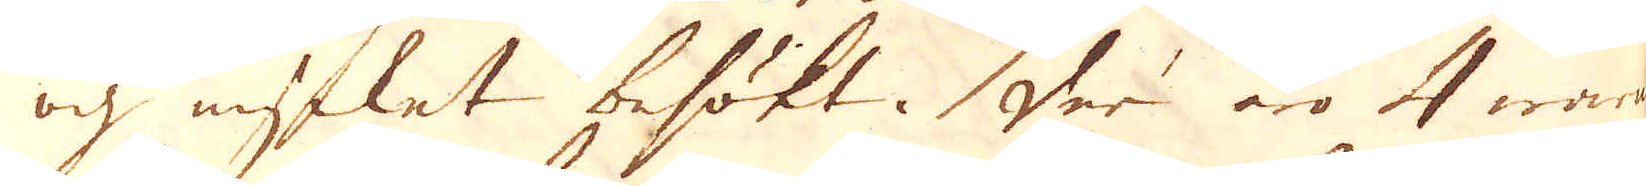och mycket besökt. Der äro 4 warma
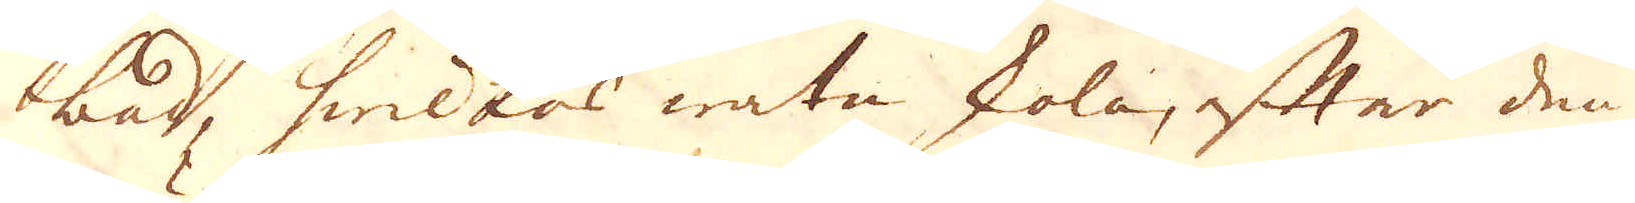bad, hwilkas watn skola, efter den efter-
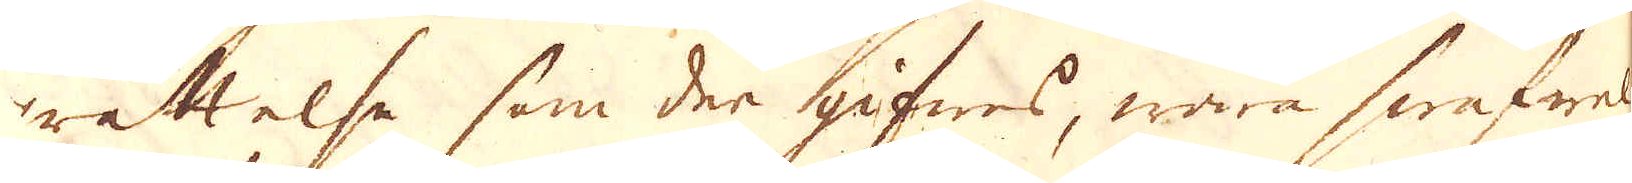rättelse som der gifwes, wara swafwel
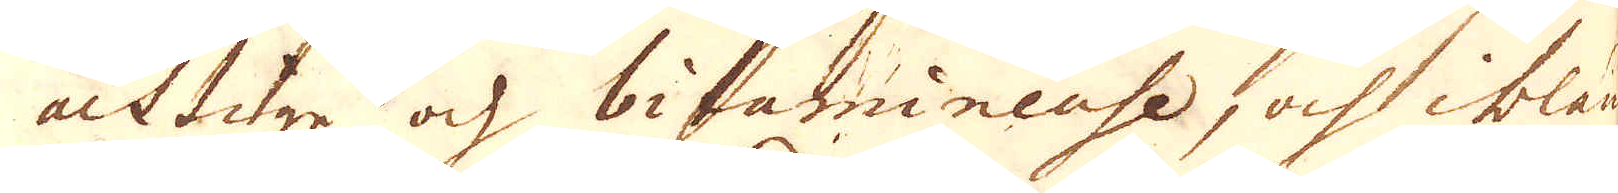achtige och bitanmineuse, och ibland
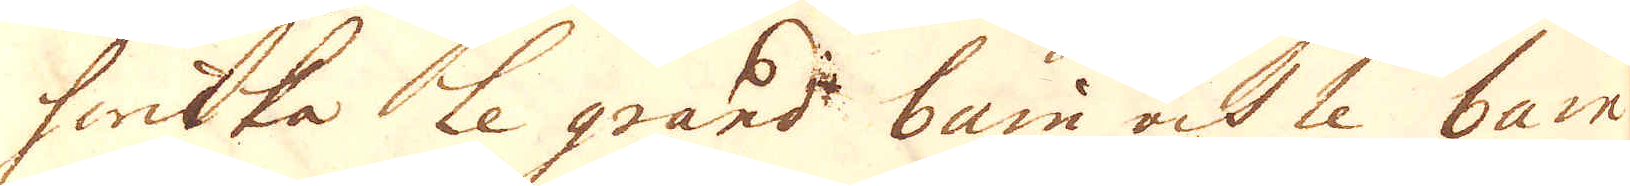hwilka le grand bain och le bain
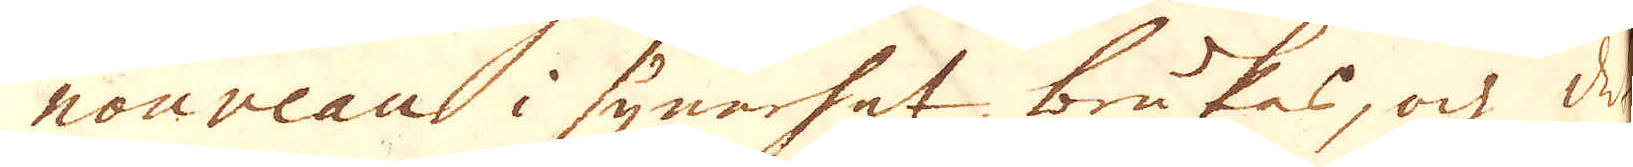nouveau i synerhet brukas, och det
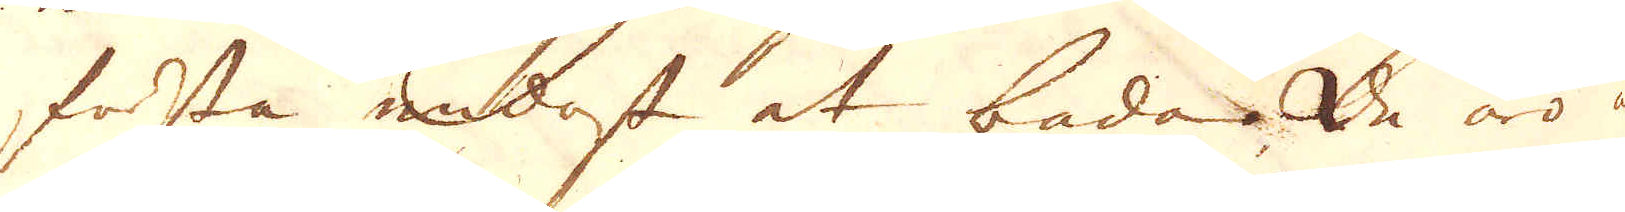första endast at bada. De äro af
